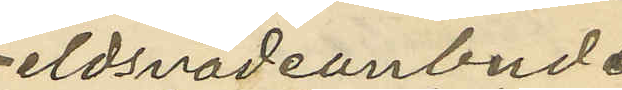vid eldsvådeanbud
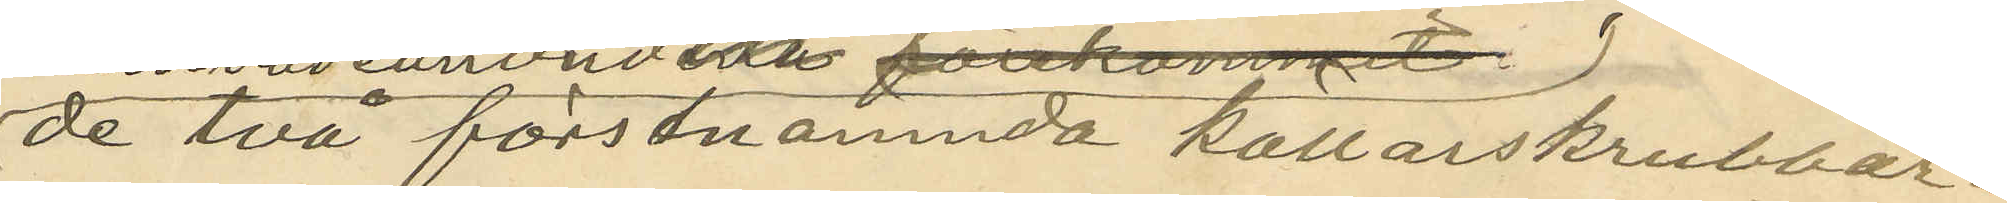de två förstnamnda källarskrubbar¬
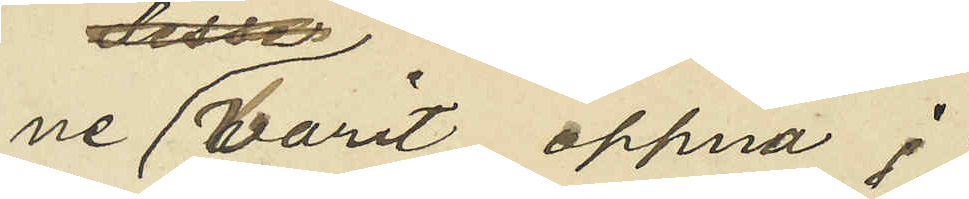ne varit öppna;
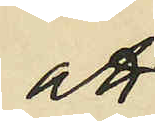att
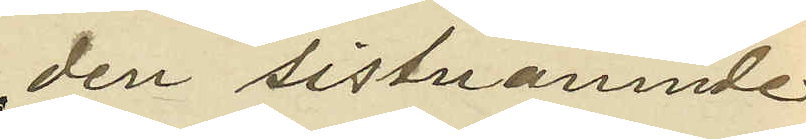den sistnämnde
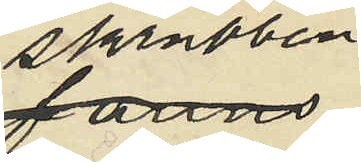skrubben
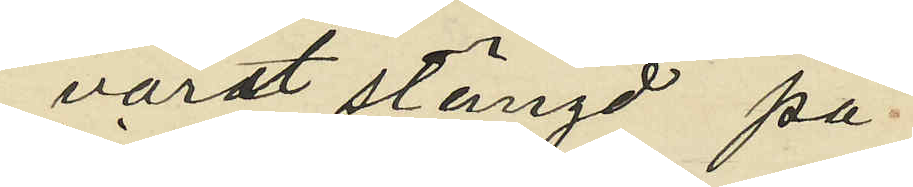varit stängd på
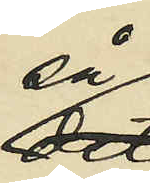så
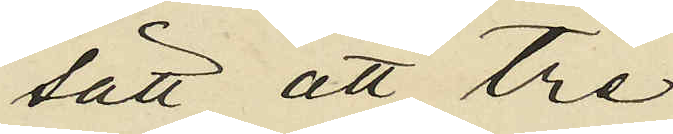sätt att tre
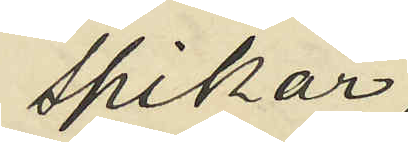spikar,
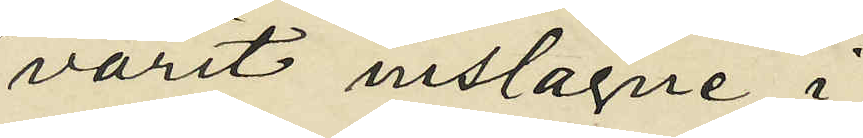varit inslagne i
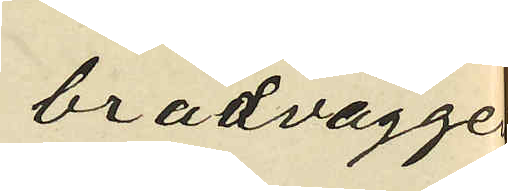brädväggen
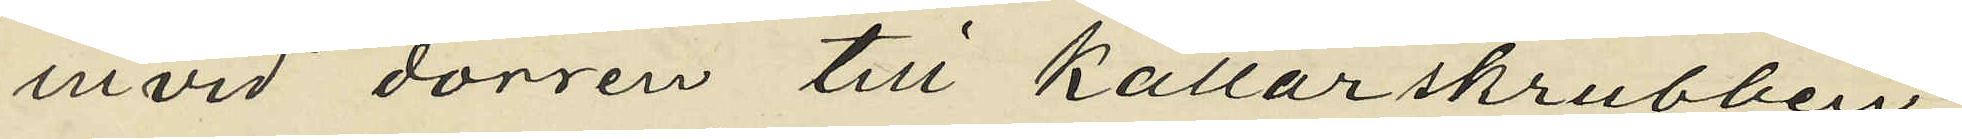invid dörren till källarskrubben,
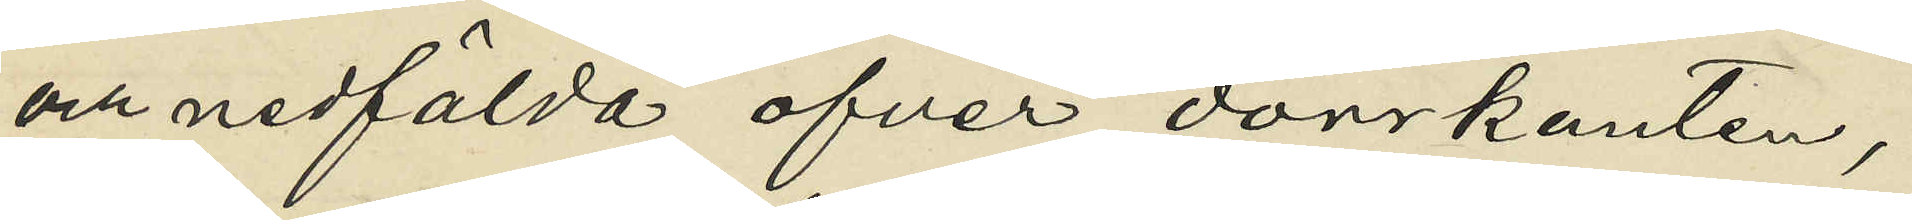och nedfälda öfver dörrkanten,
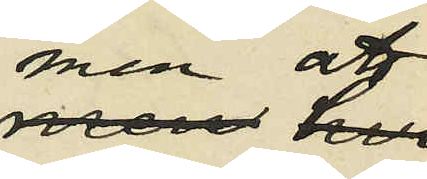men att
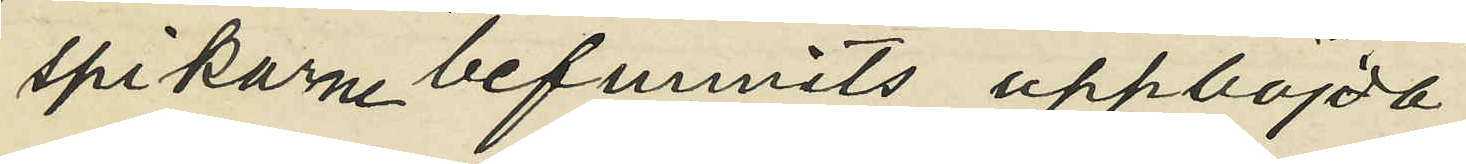spikarne befunnits uppböjda
